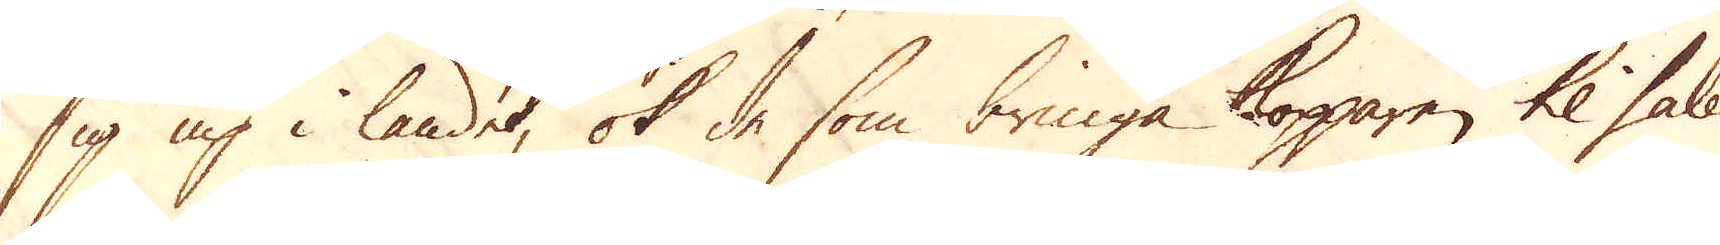sig up i landet, ok de som bringa Kopparen til salu
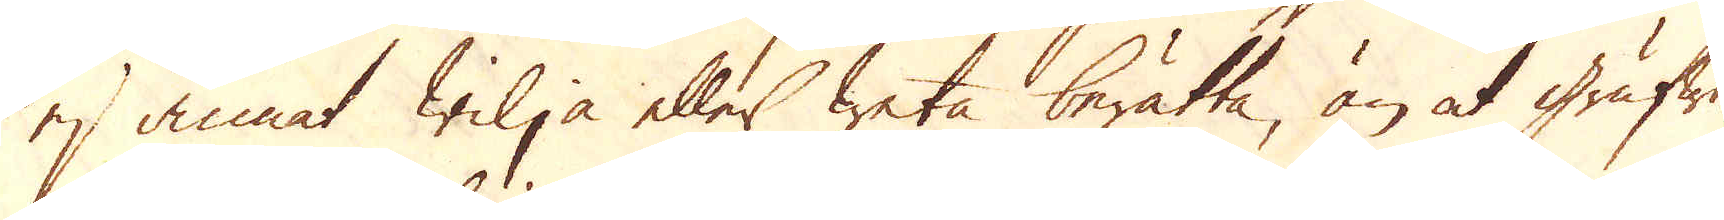ej annat wilja eller weta berätta, än at grufwor-
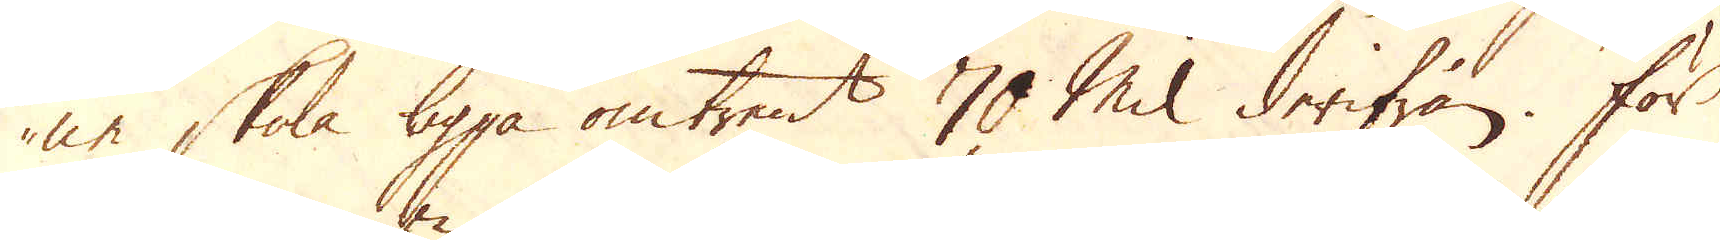ne skola ligga omtrent 70 Mil derifrån. För
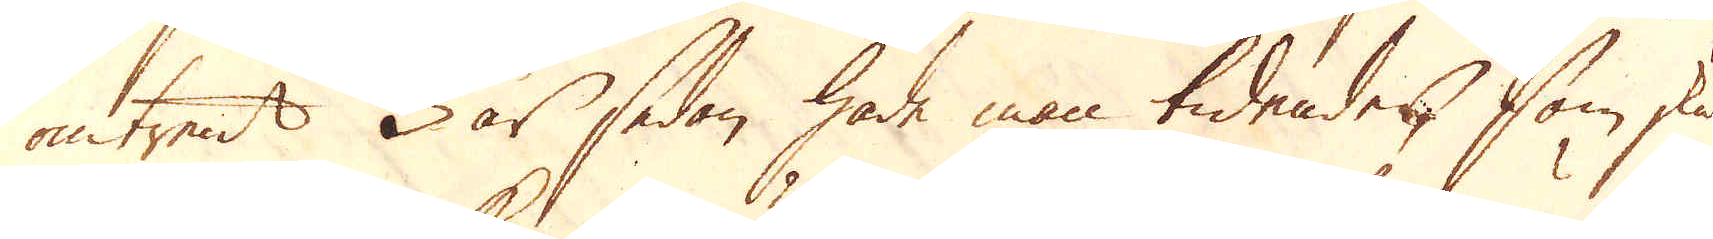omtrent 3 år sedan hade man tidendes, som sku-
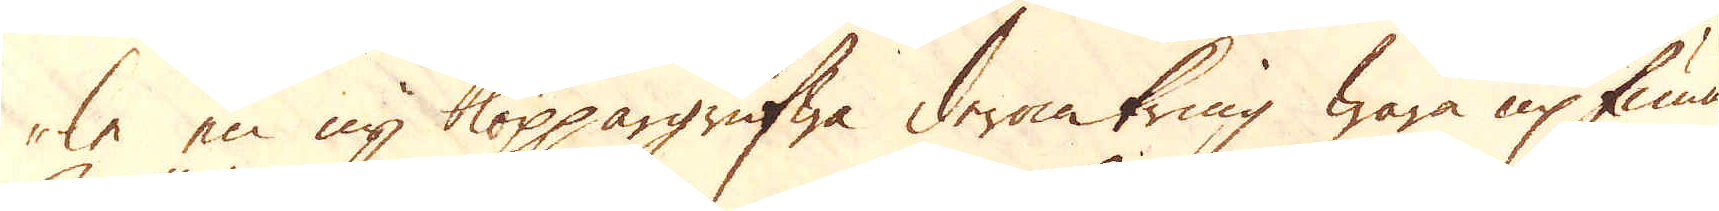le en ny koppargrufwa deromkring wara up funnen.
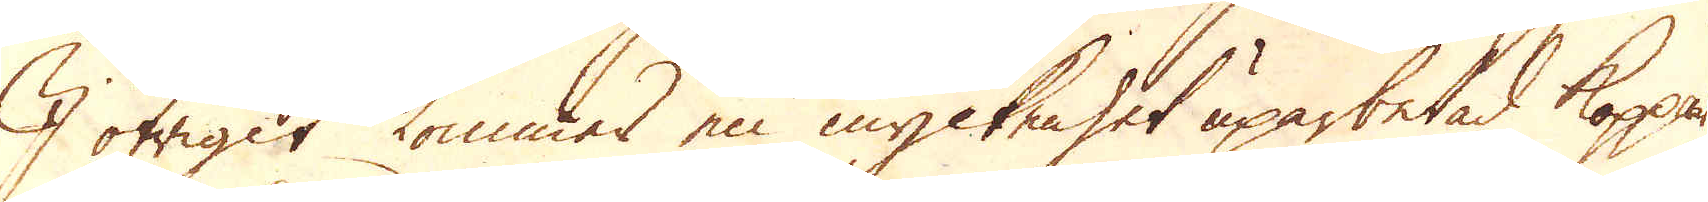I öfrigit kommer en myckenhet uparbetad koppar
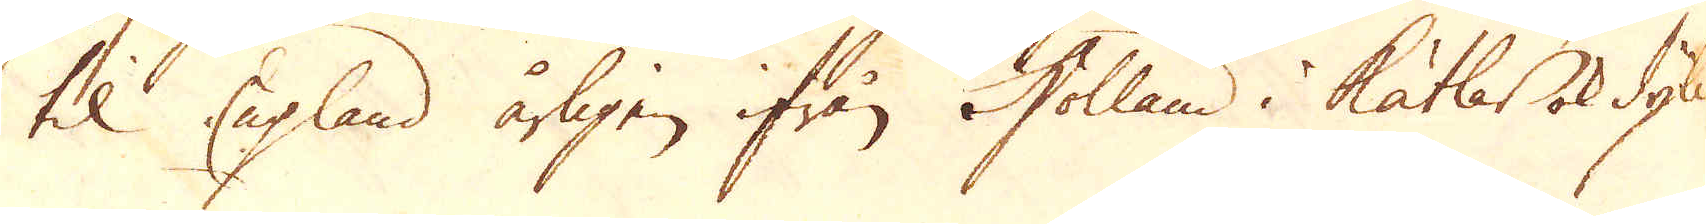til England årligen ifrån Holland i Kätlar ok dylikt.
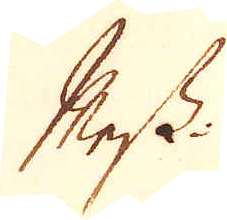Mess-
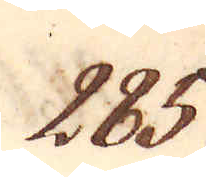285.
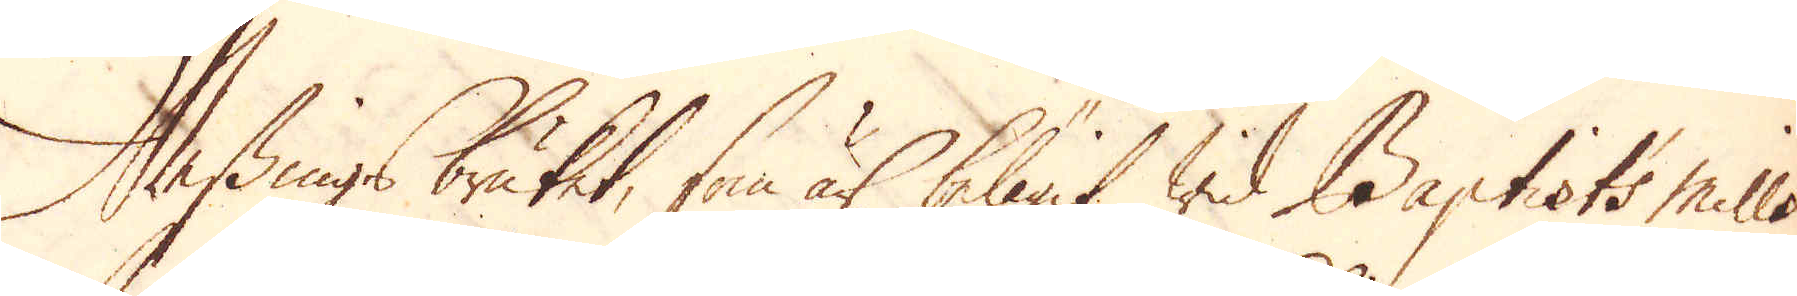Messingsbruket, som är belägit wid Baptist's Mills
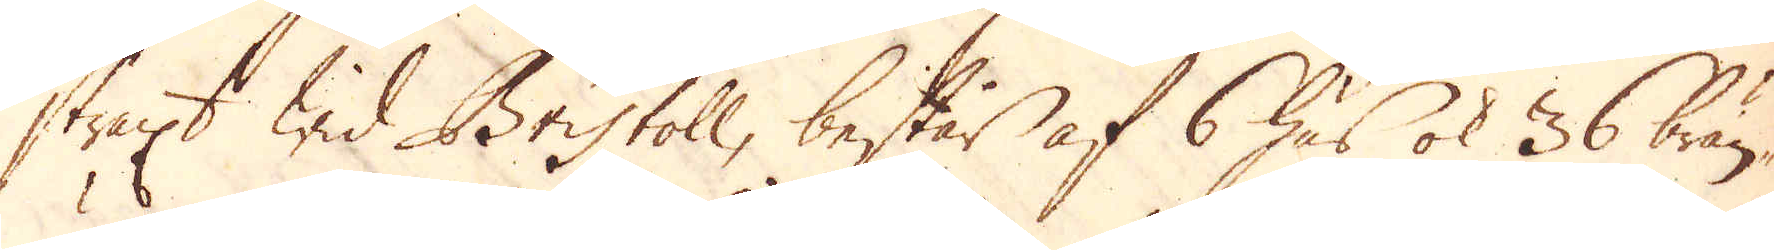straxt wid Bristoll, består af 6 hus, ok 36 brän-
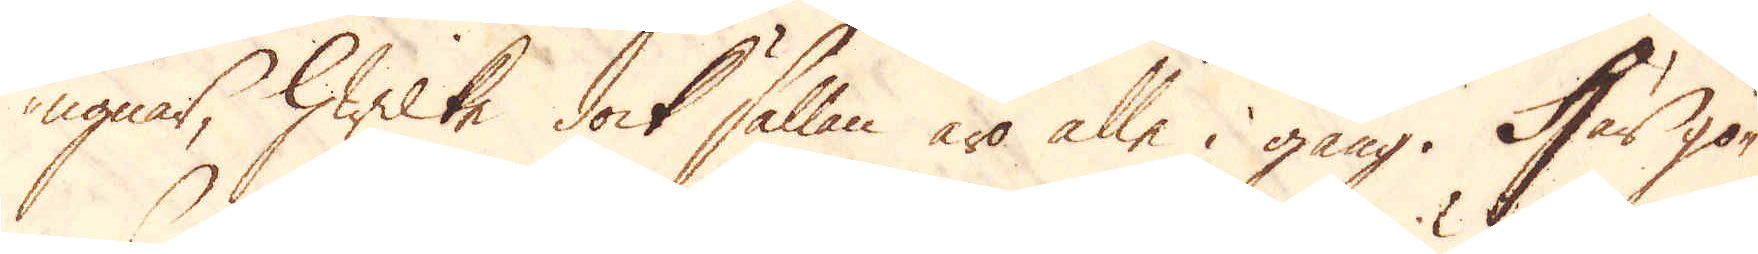ugnar, hwilke dock sällan äro alle i gång. Här gö-
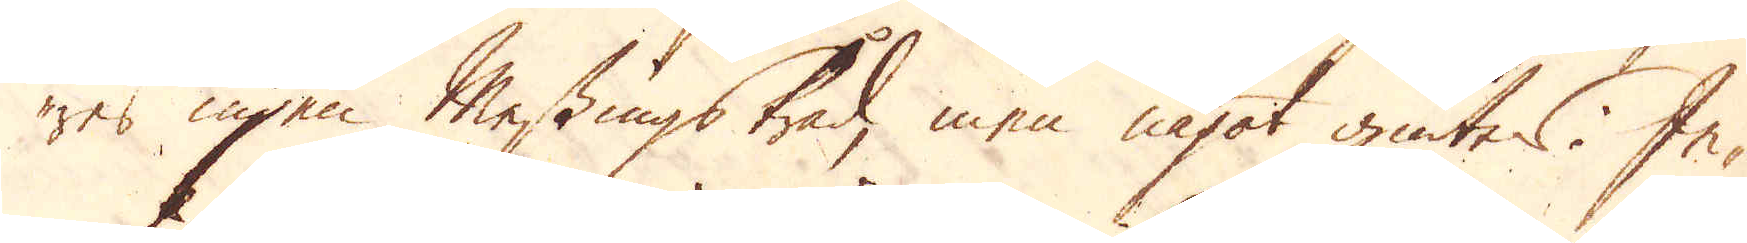res ingen Messingstråd, men något giutes. In-
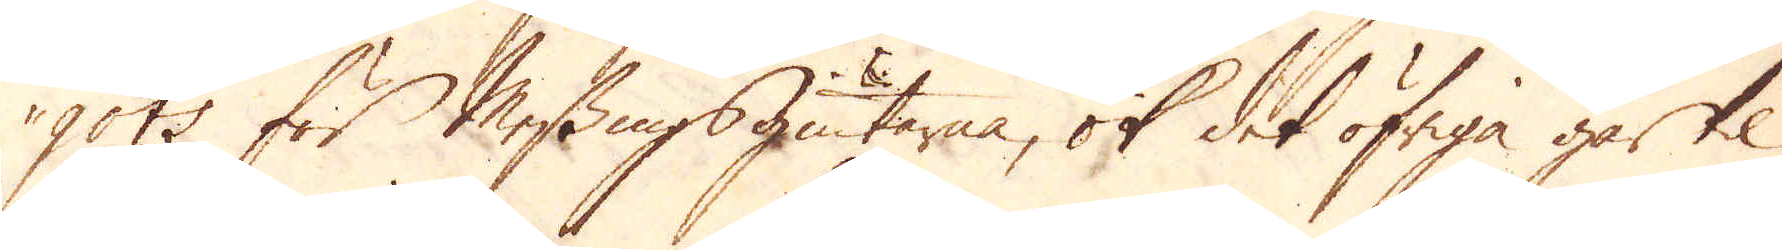gots för Messingsgiutarna, ok det öfriga går til
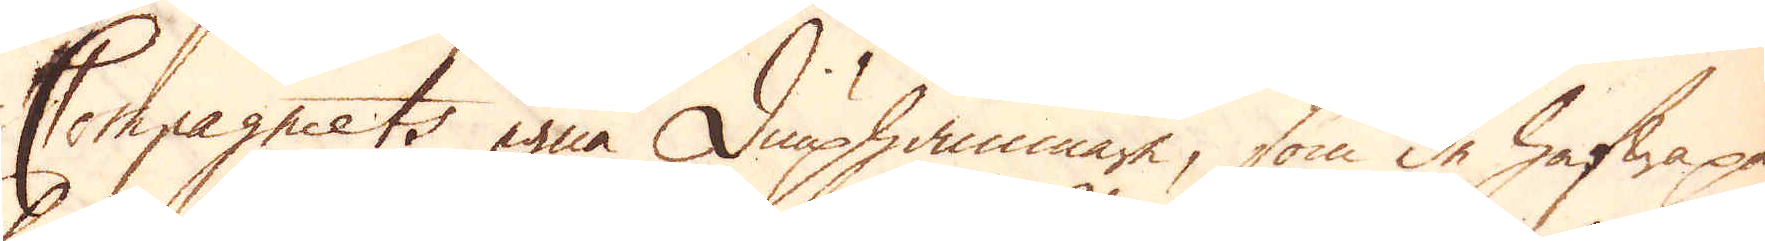Compagniets egna diuphammare, som de hafwa på
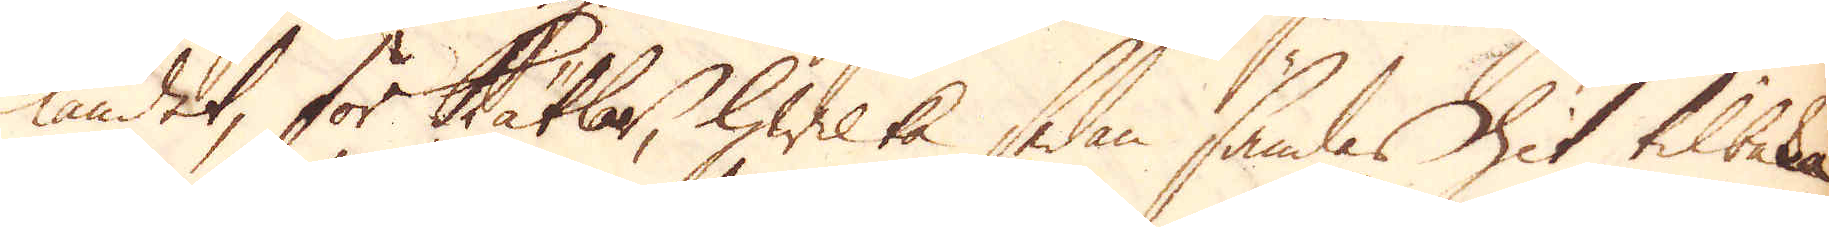landet, för Kätlar, hwilka sedan sändas hit tilbaka
